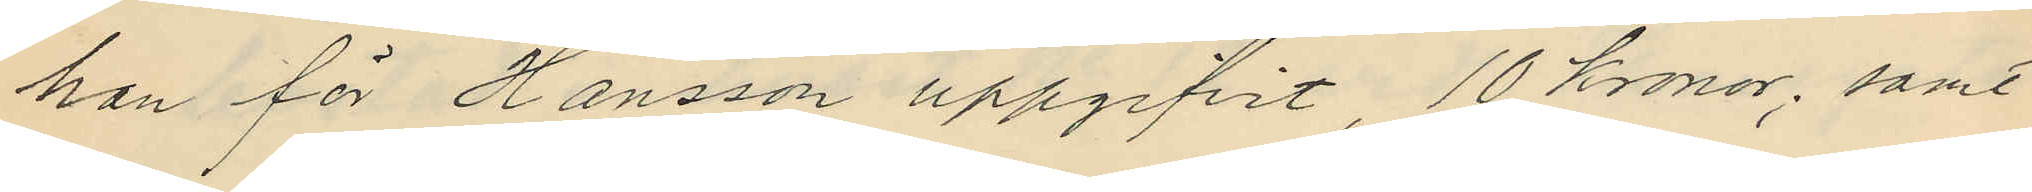han för Hansson uppgifvit 10 kronor; samt
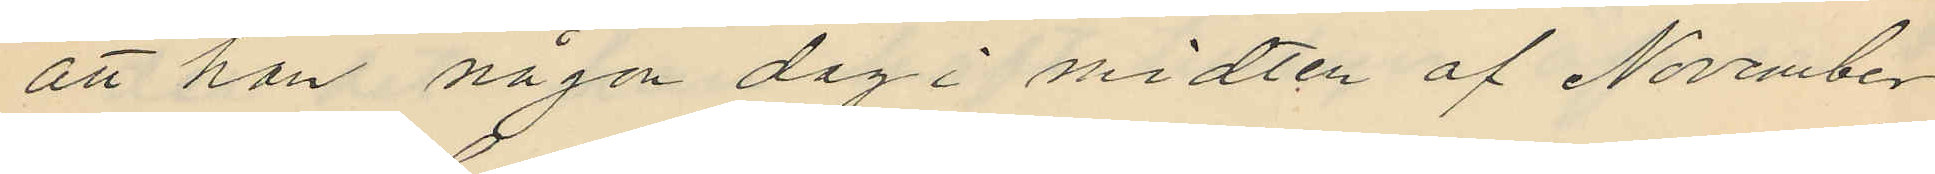att han någon dag i midten af November
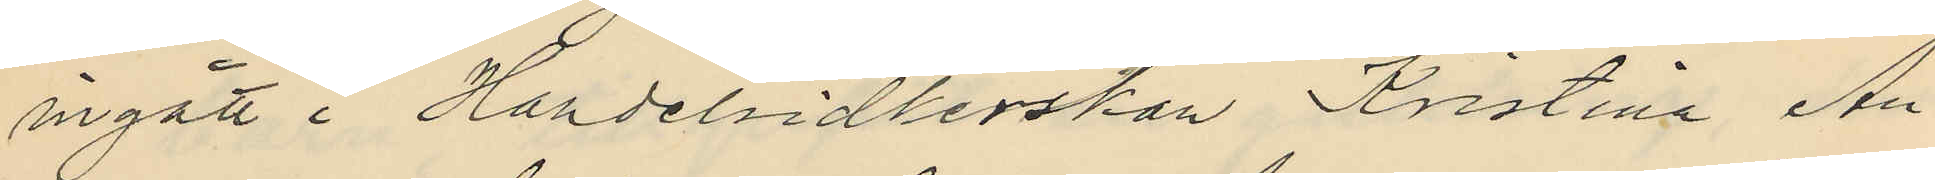ingått i Handelsidkerskan Kristina An¬
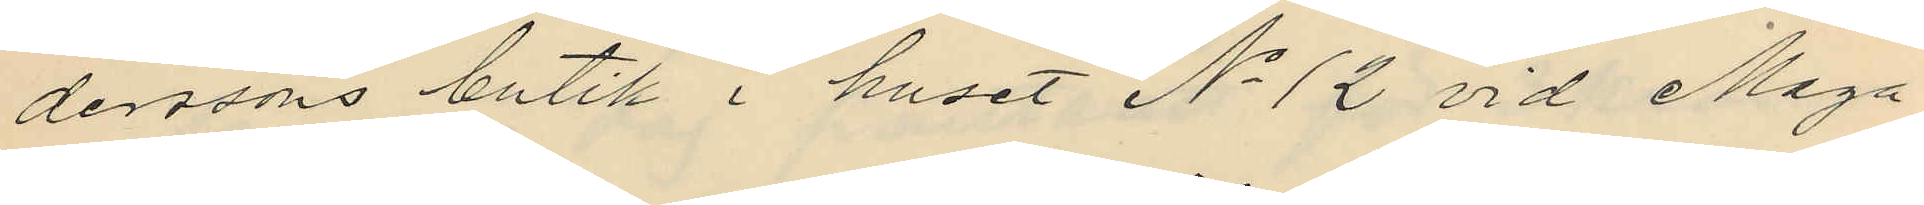derssons butik i huset No 12 vid Maga
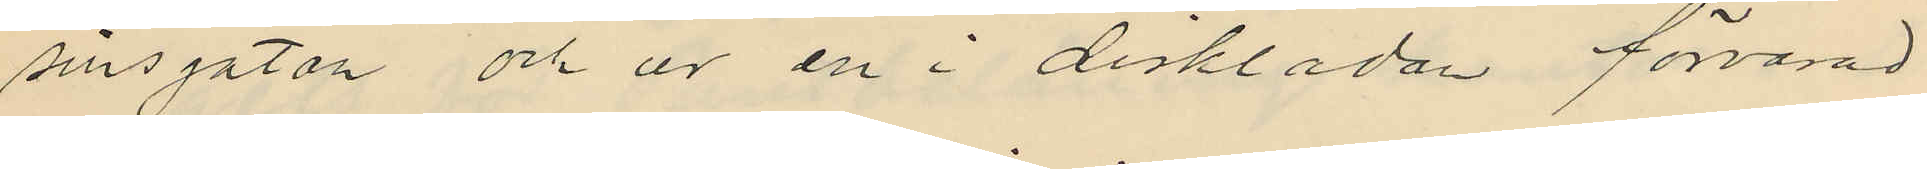sinsgatan och ur en i disklådan förvarad
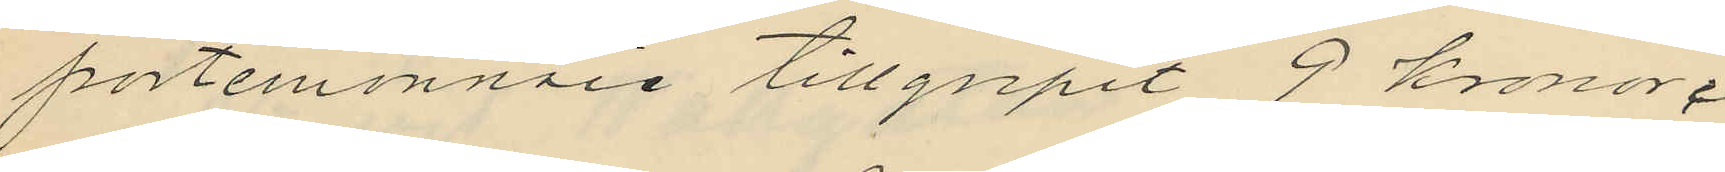portemonnaie tillgripit 9 kronor;
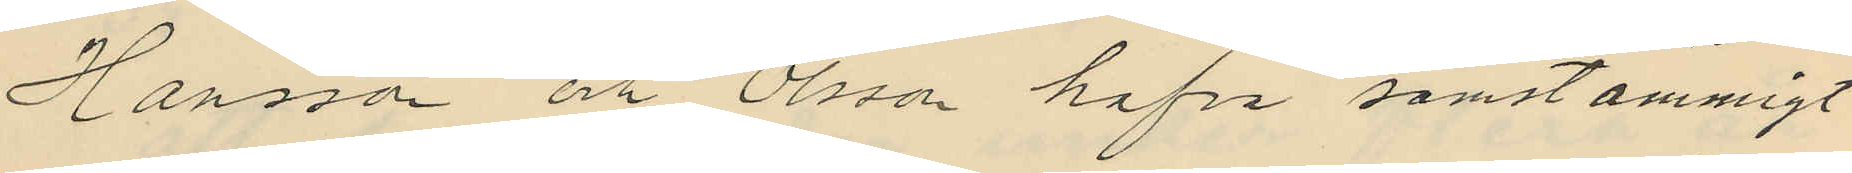Hansson och Olsson hafva samstämmigt
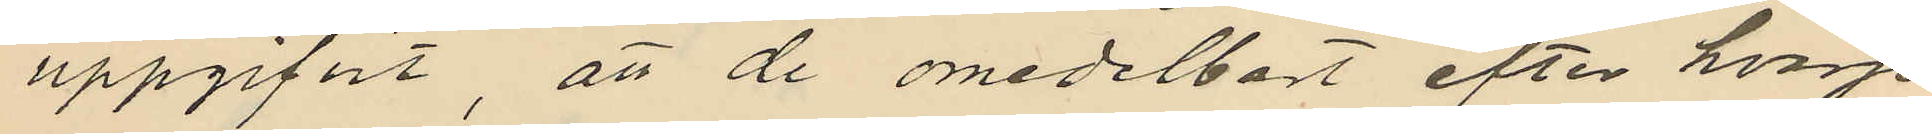uppgifvit, att de omedelbart efter hvarje
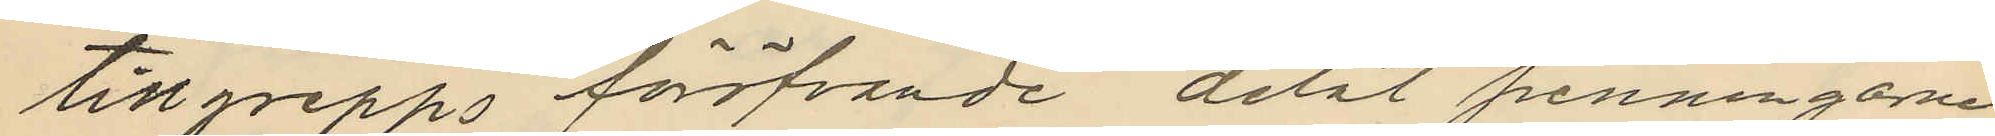tillgrepps föröfvande delat penningarne
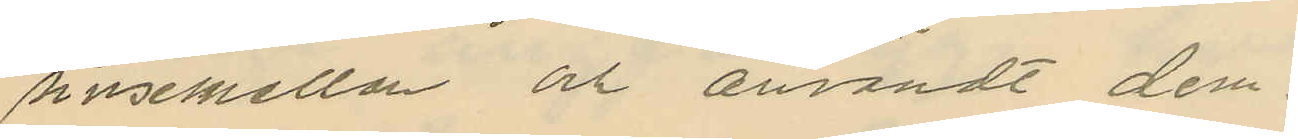sinsemellan och användt dem:
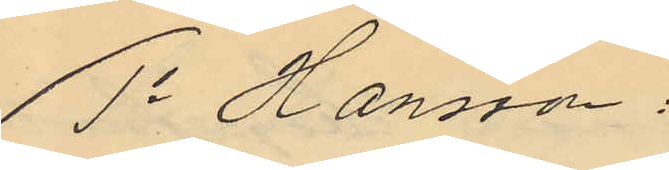1o Hansson:
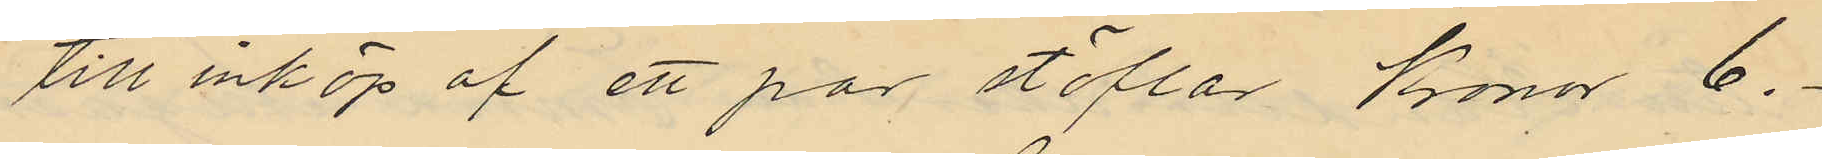till inköp af ett par stöflar Kronor 6.-
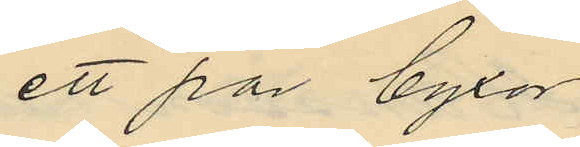ett par byxor
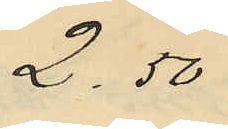2.50
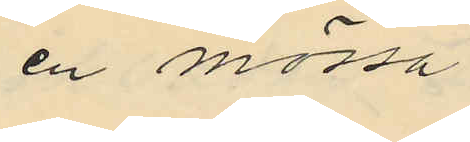en mössa
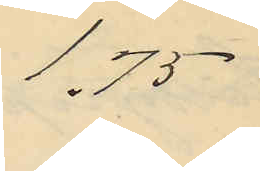1.75
